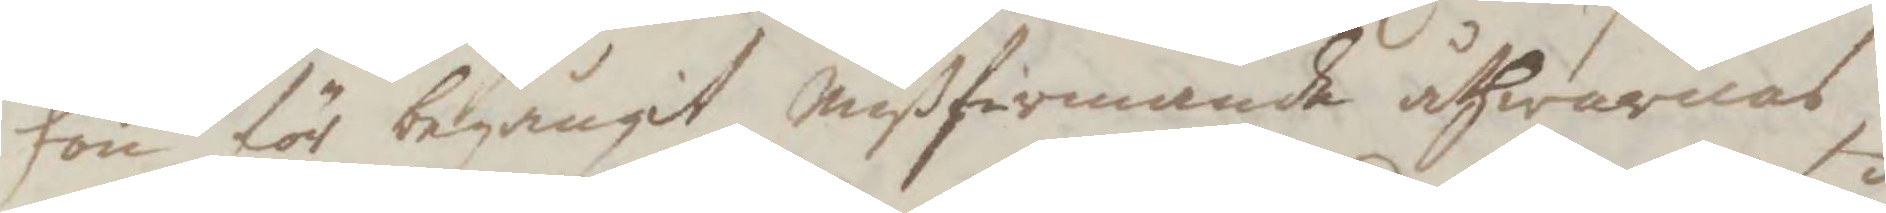hon för begångit mißfirmande åthwarnas,
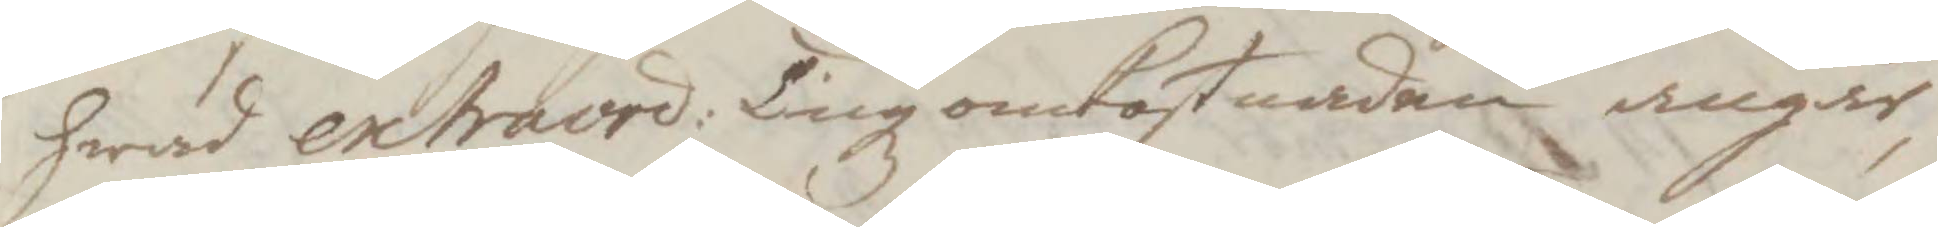hwad extraord: Tingz omkostnaden angår,
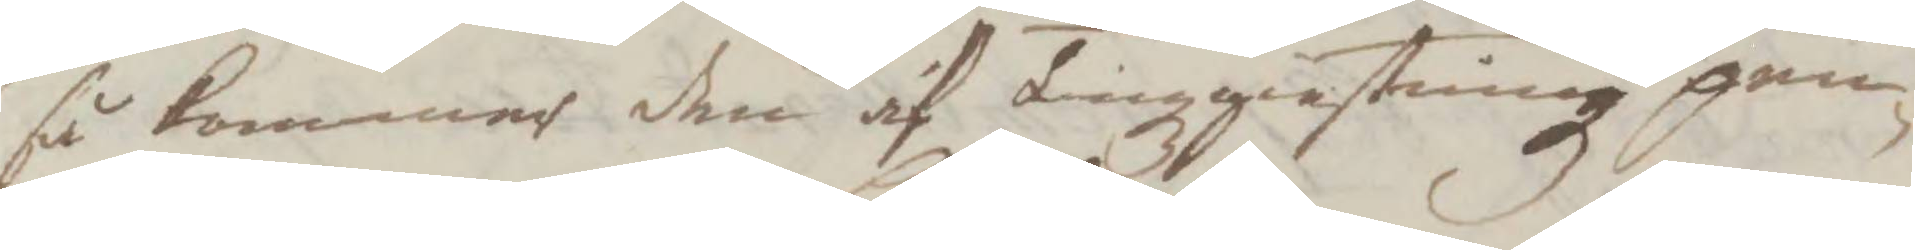så kommer den af Tingzgiestningz pen¬
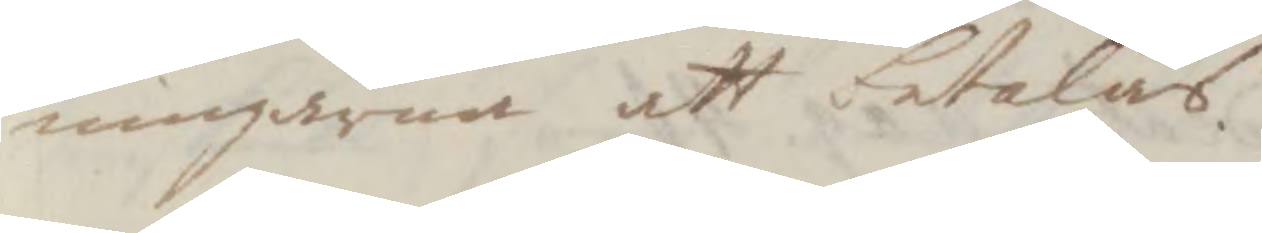ningarna att betalas.
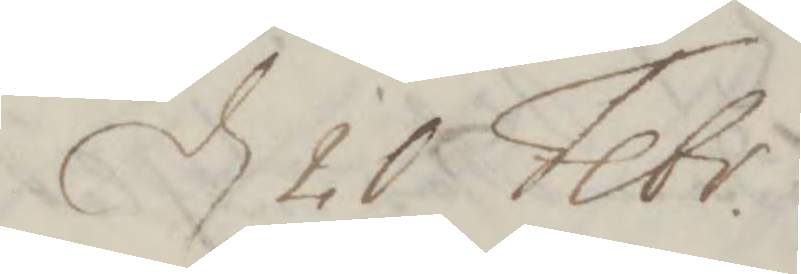d 10 Febr.
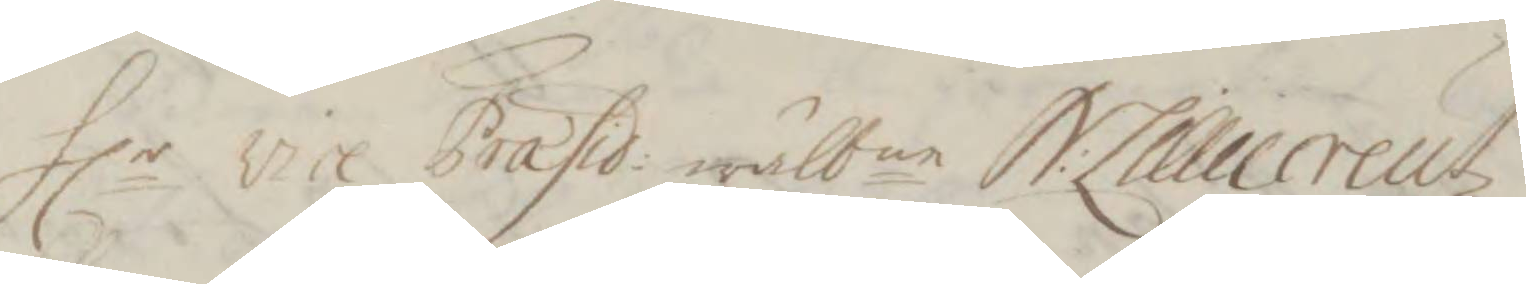Hlr vice Præsid: wälbne S:Lilliecreutz
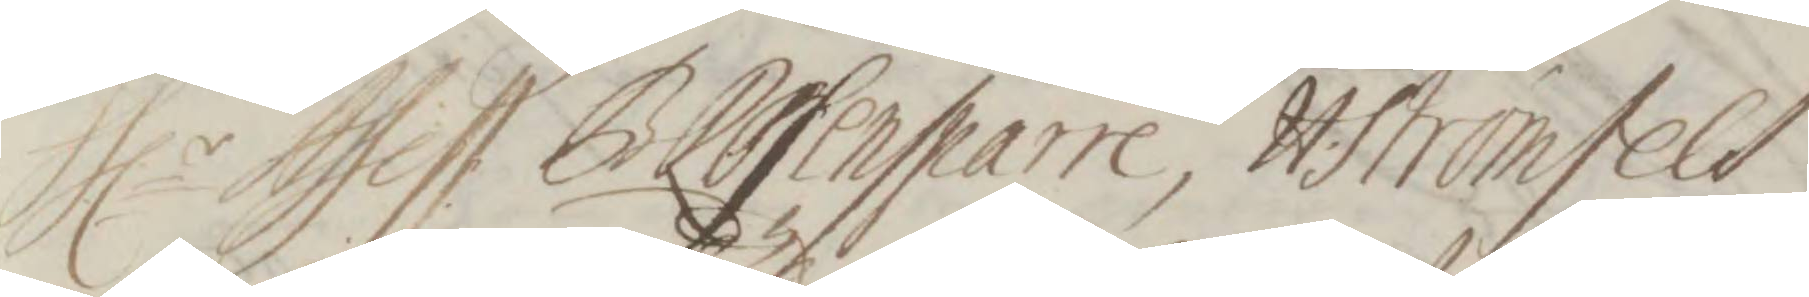Hlr Assess. B. Rosensparre, H:Strömfelt,
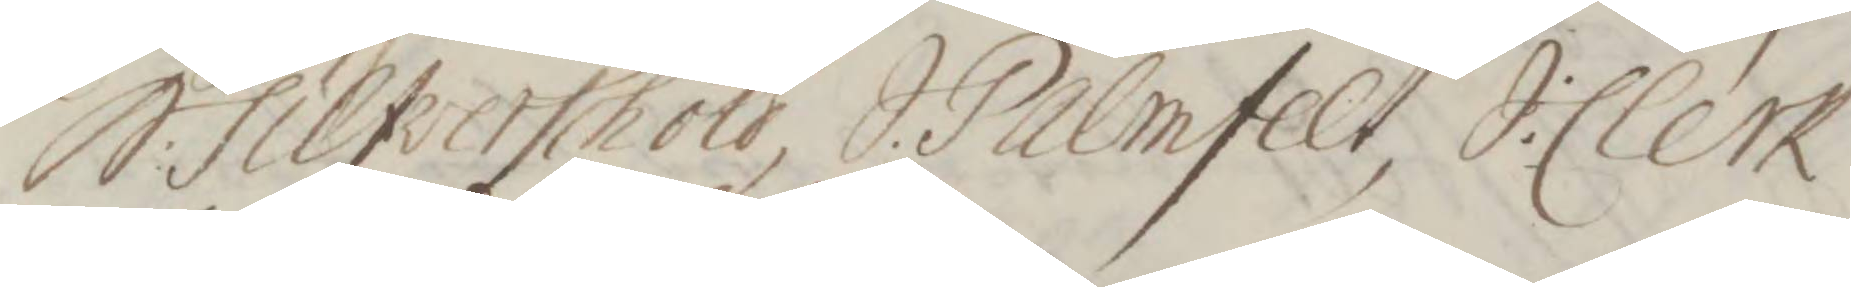St:Silfverschöld, S:Palmfelt, J:Clerk
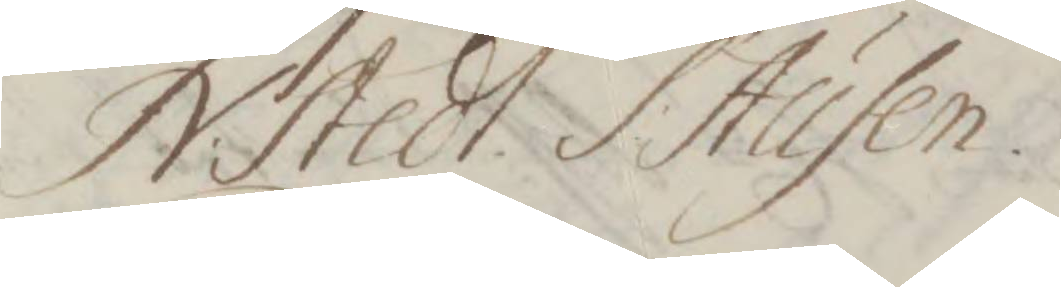N. Stedt, S. Ausen
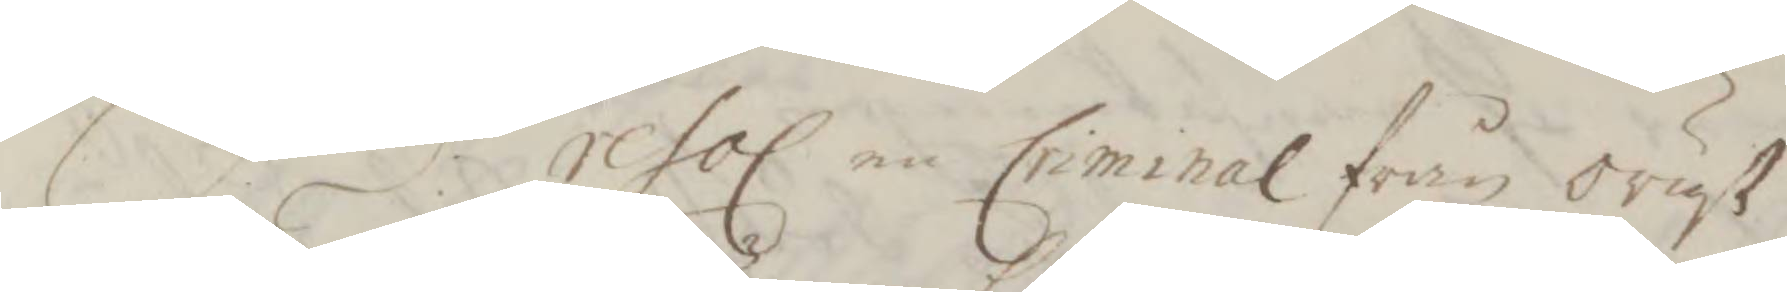S.d: resol. en Criminal från orust
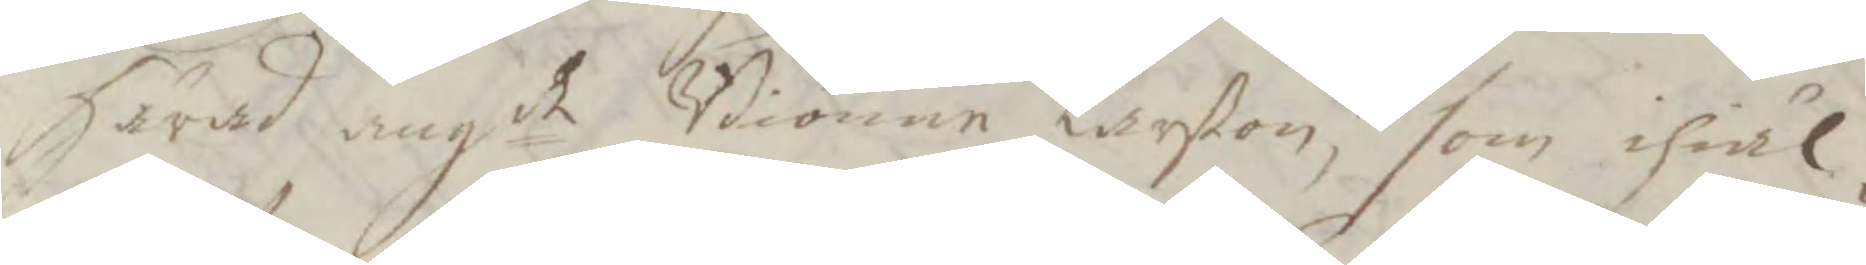Härad angde Biörnen Larßon, som ihiäl¬
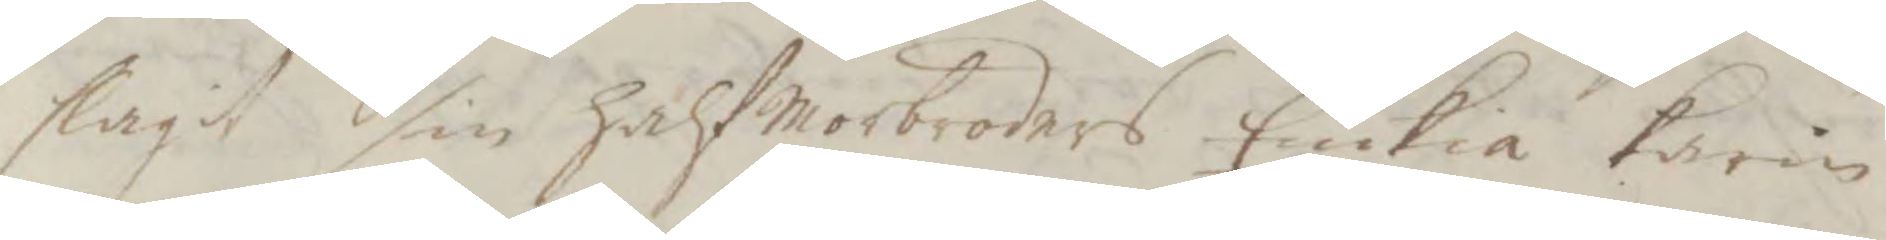slagit sig halfmorbroders Enkia Karin
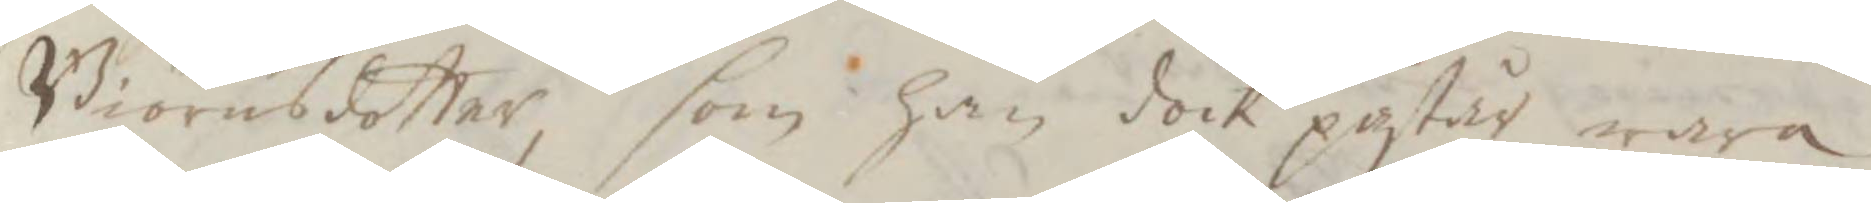Biörnsdotter, som han dock påstår wara
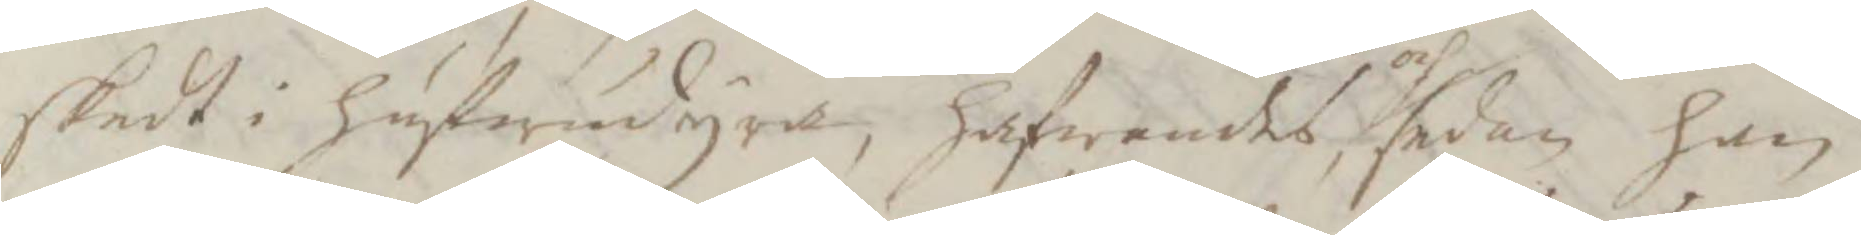skedt i hufwudyra, hafwandes och sedan han
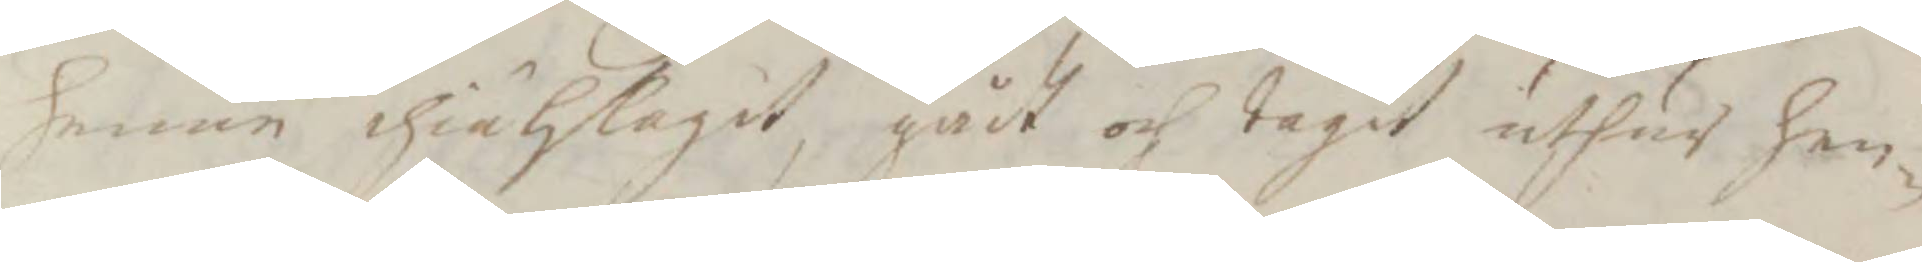henne ihiälslagit, gådt och tagit uthus hen¬
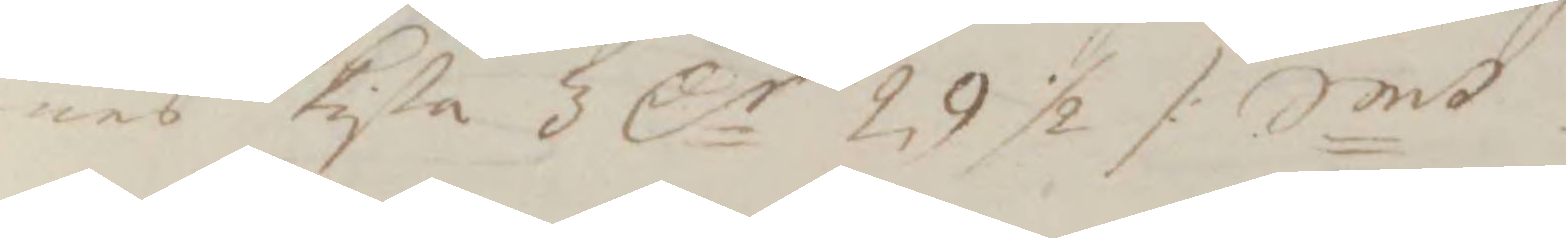nes kista 3 Cr 29 ½ /. Smt
